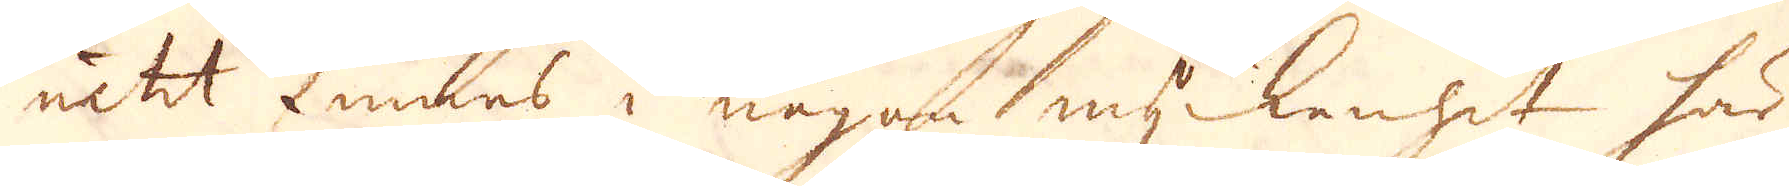intet finnes i någon myckenhet här
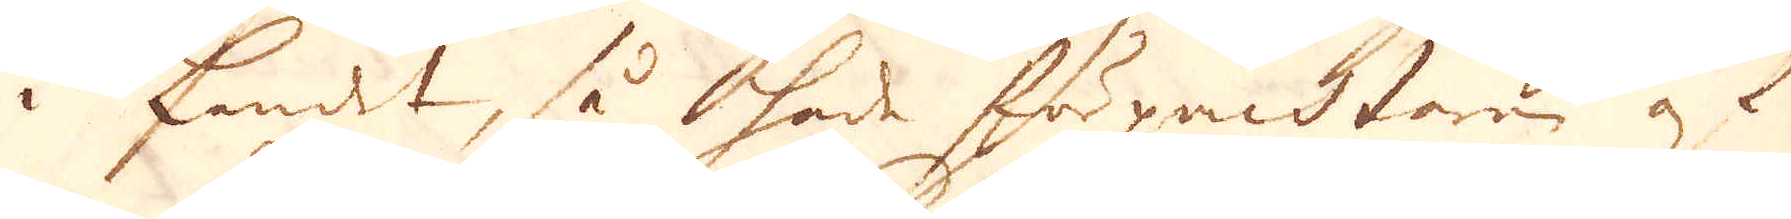i Landet, så hade förpachtane, af
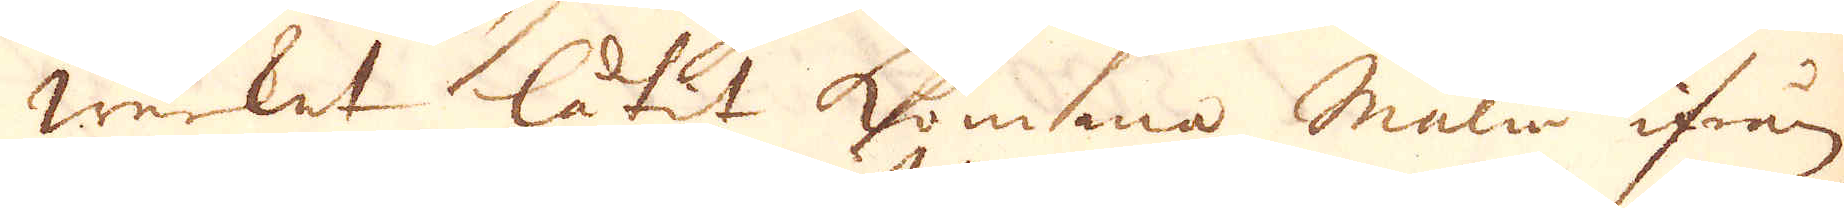werket låtit komma Malm ifrån
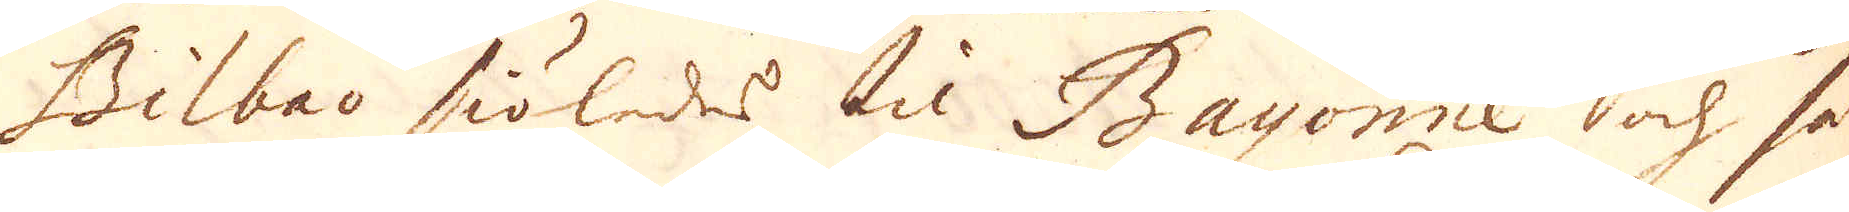Bilbao siöledes til Bayonne och så
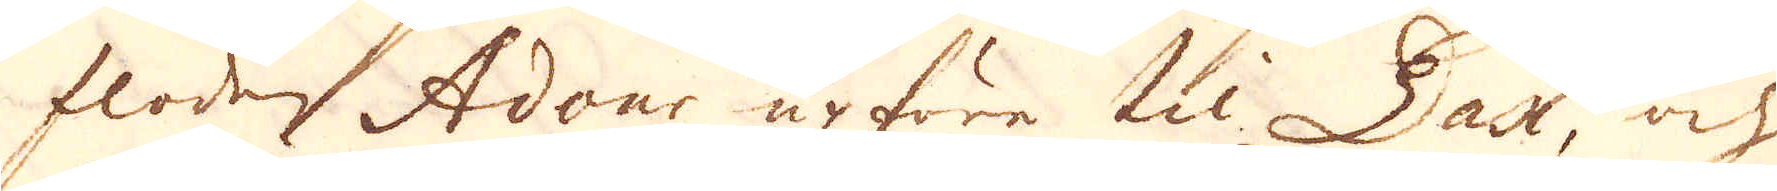floden Adour upföre til Dax, och
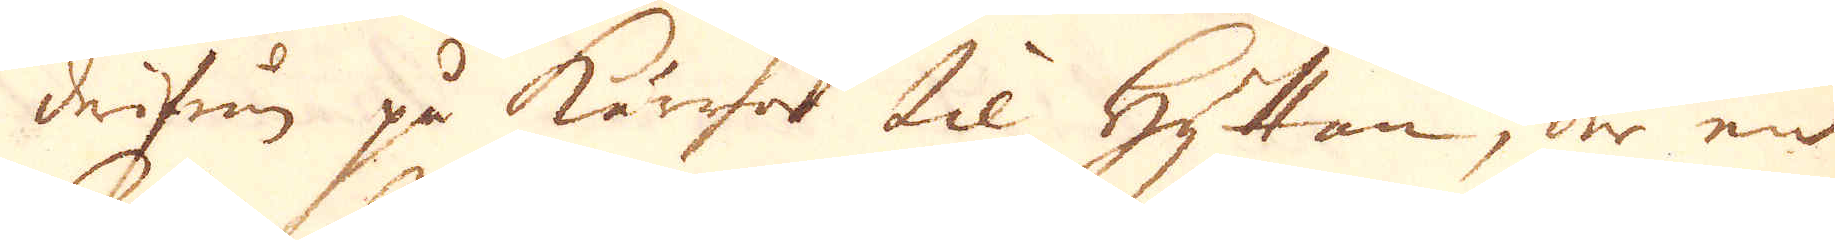derifrån på kärror til Hyttan, där en
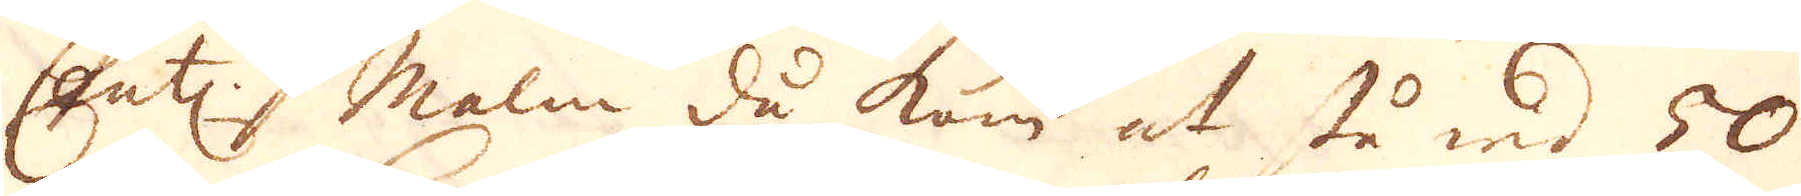Cent: malm då kom at stå wid 50
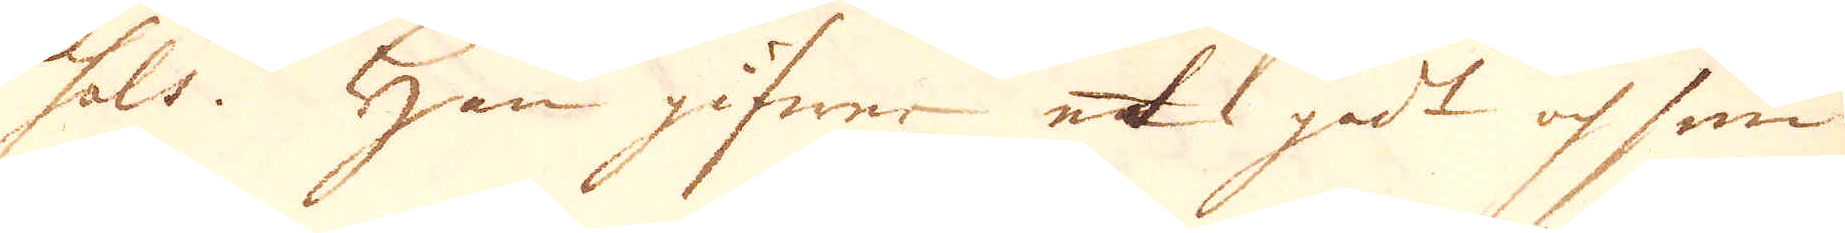sols. Han gifwer et godt och smi
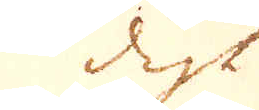digt
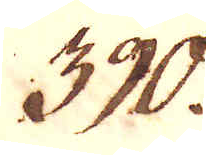390.
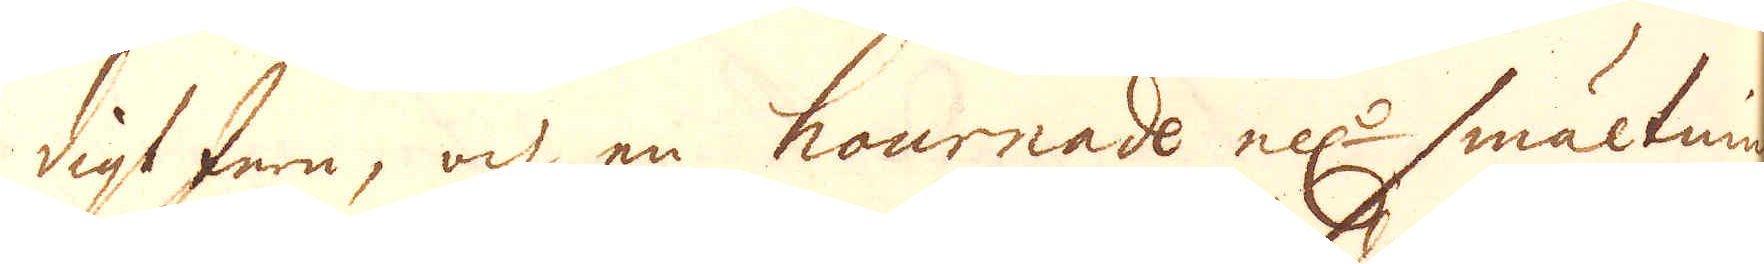digt Jern, och en hournade ell:r smältning
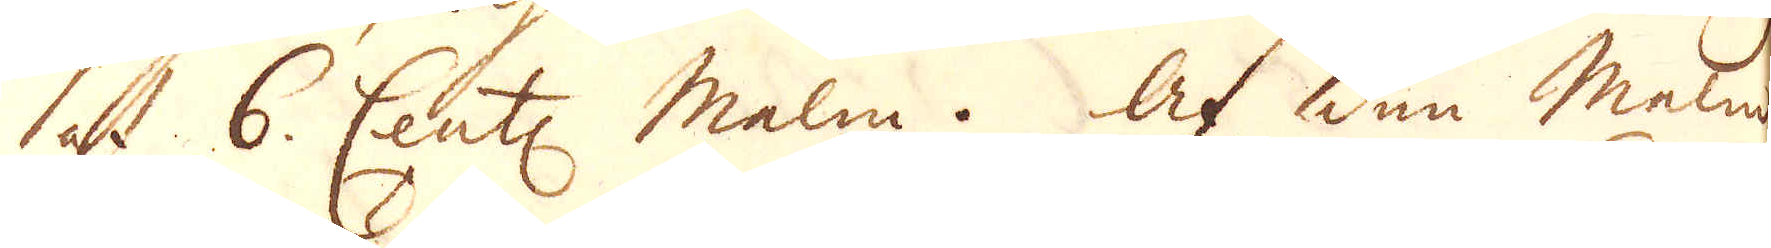at 6. Cent: Malm. Af den malm,
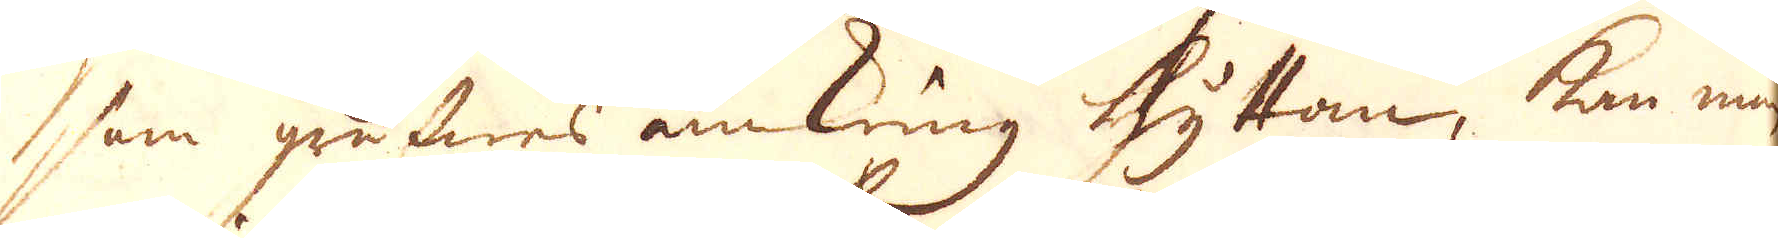som gräfwes omkring hyttan, kan man
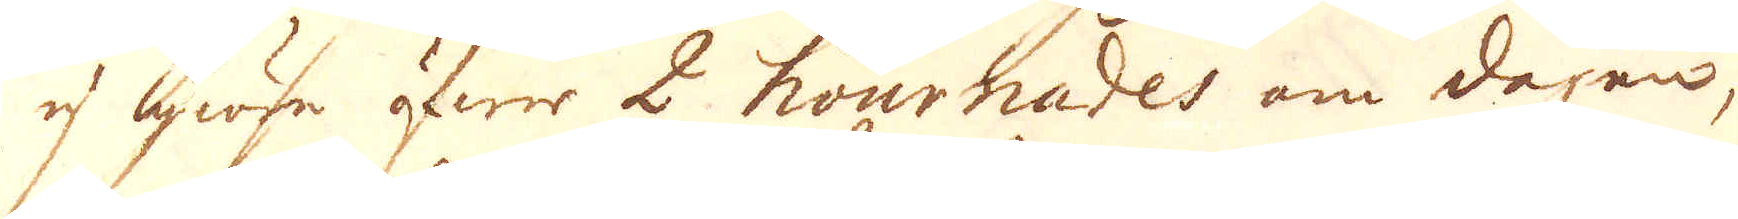ej giöre öfwer 2 hournades om dagen,
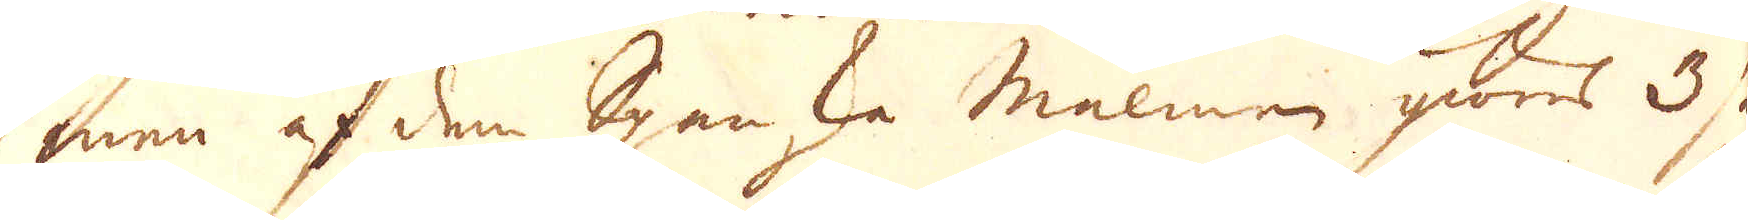men af den Spanska malmen giöres 3 så
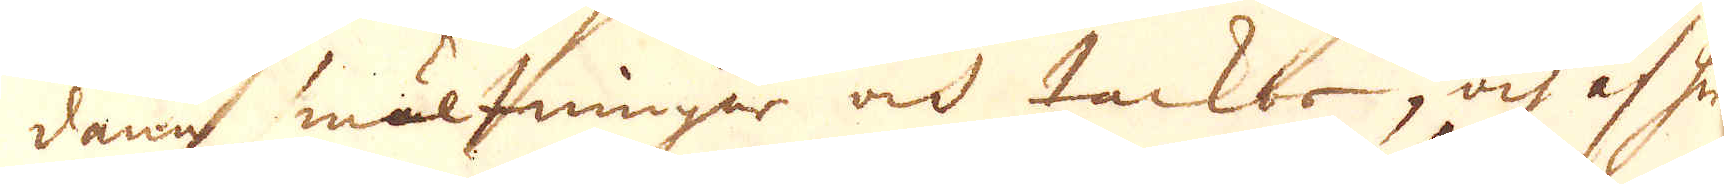dane smältningar och tackor, och af hwar
